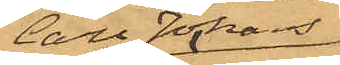Carl Johans
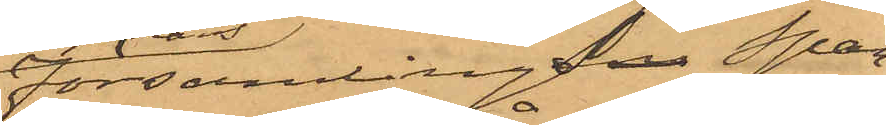Församling Spar¬
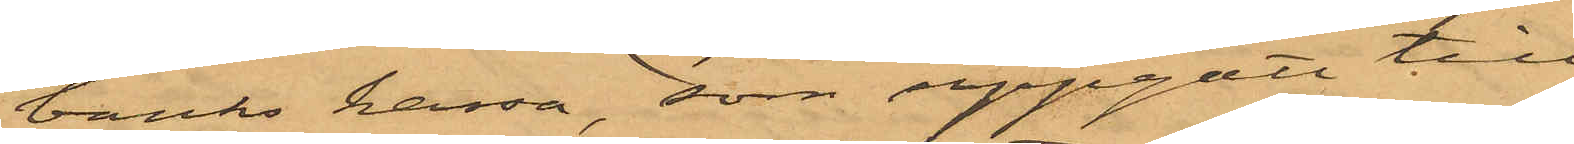banks kassa, som uppgått till
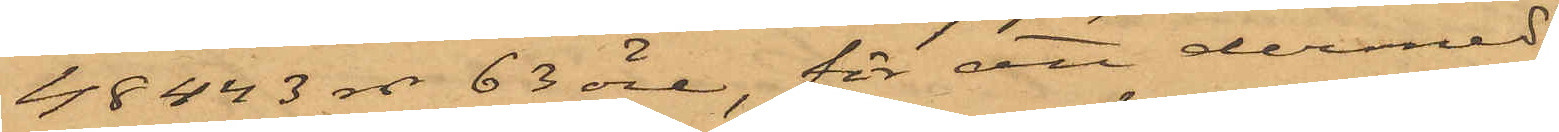48443 rdr 63 öre, för att dermed
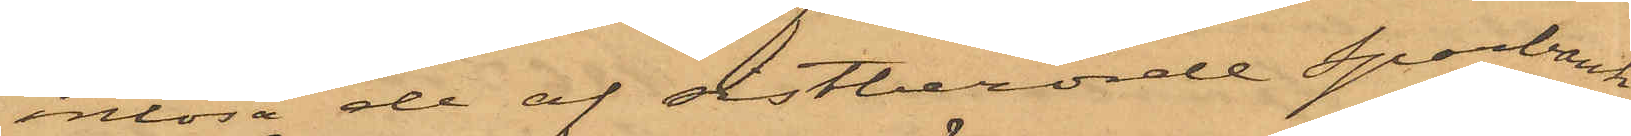inlösa de af sistberörde Sparbanks
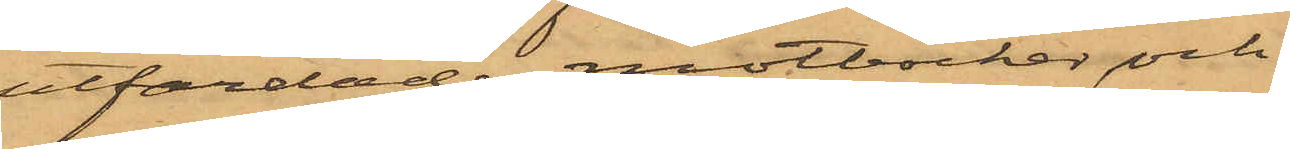utfärdade motböcker och
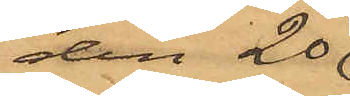den 20 
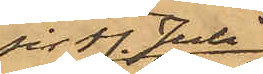sist. Juli
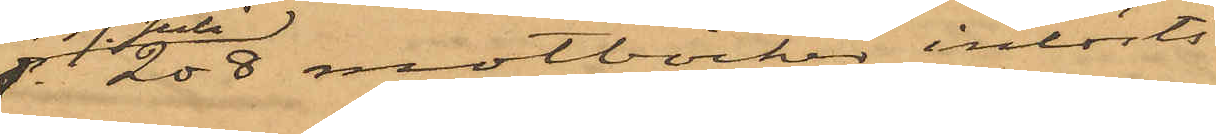208 motböcker inlösts
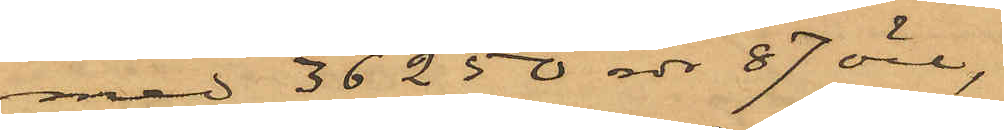med 36250 rdr 87 öre
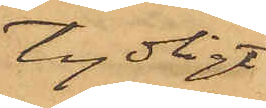tydligt
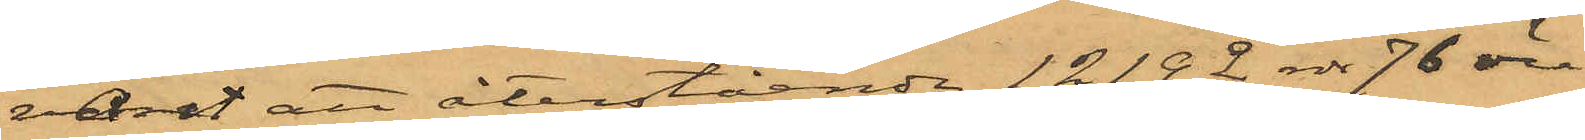varit att återstående 12192 rdr 76 öre
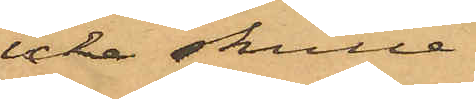icke skulle.
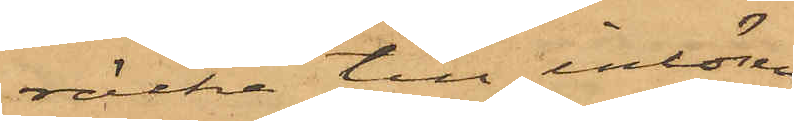räcka till inlösen
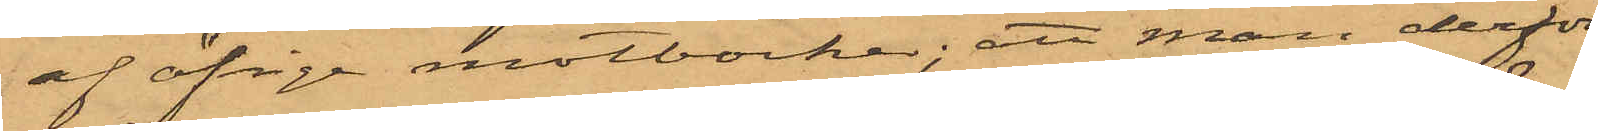af öfrige motböcker; att man derför
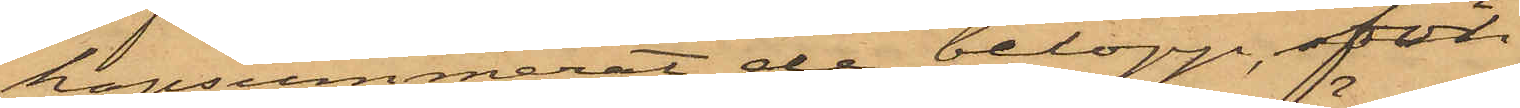hopsummerat de belopp, för
